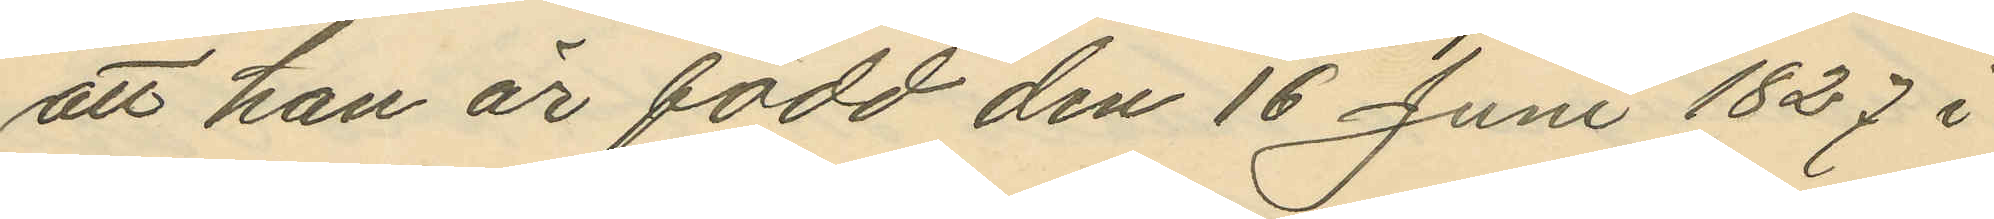att han är född den 16 Juni 1827 i
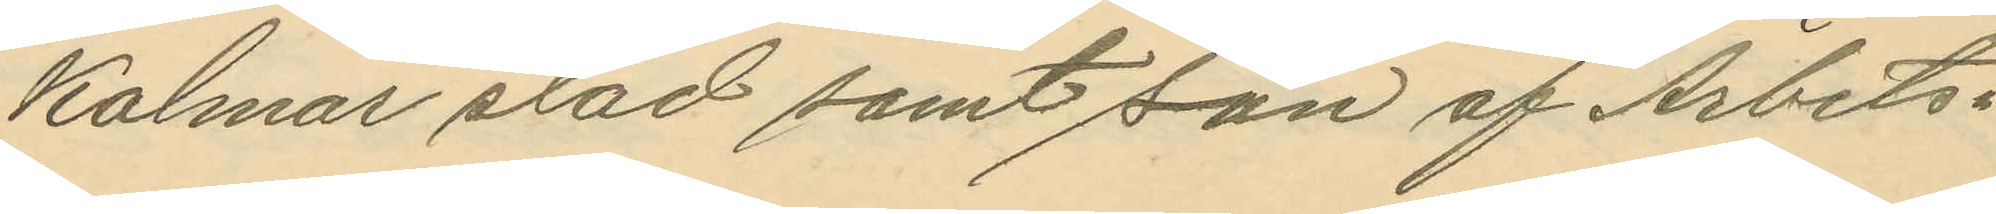Kalmar stad samt son af Arbets¬
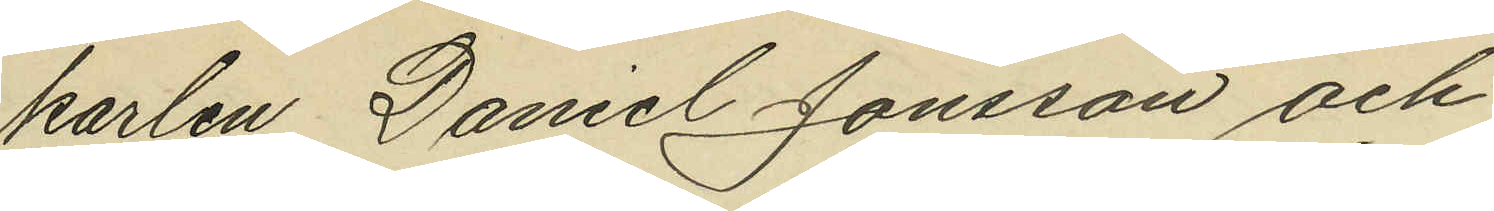karlen Daniel Jonsson och
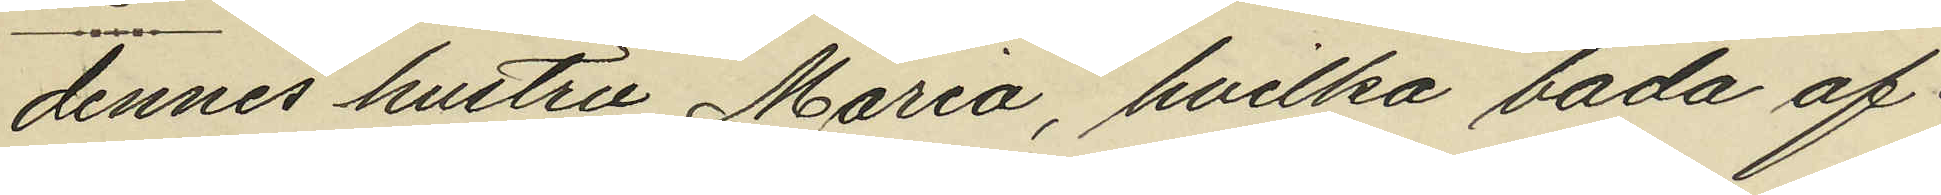dennes hustru Maria, hvilka båda af¬
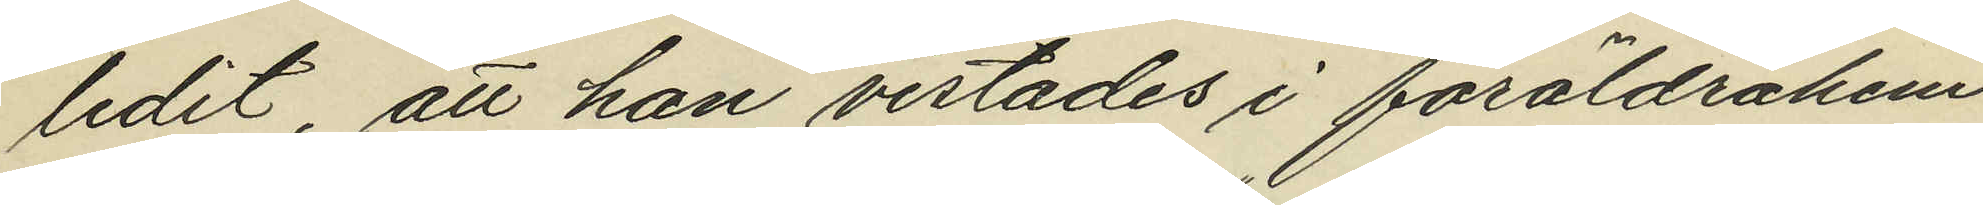lidit, att han vistades i föräldrahem¬
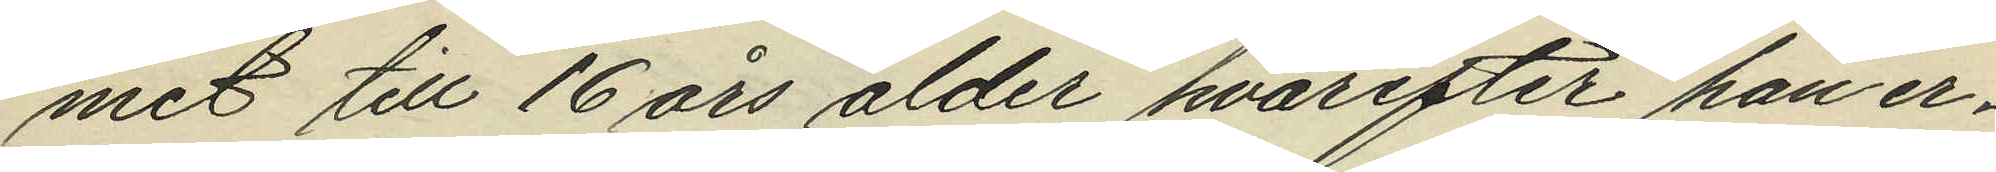met till 16 års ålder hvarefter han er¬
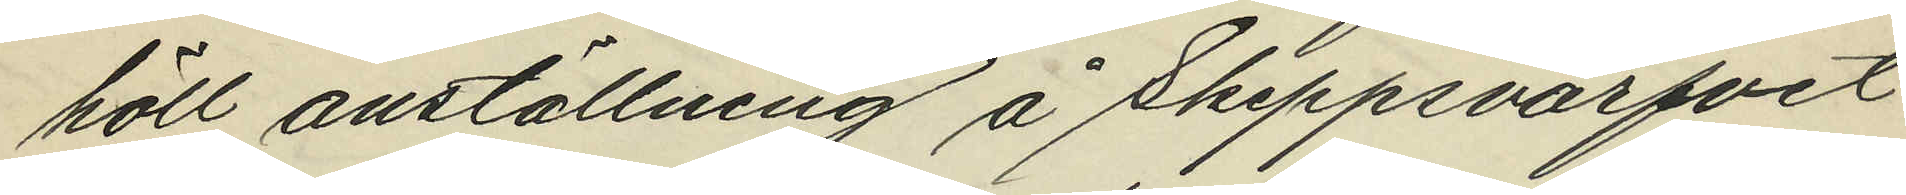höll anställning å Skeppsvarfvet
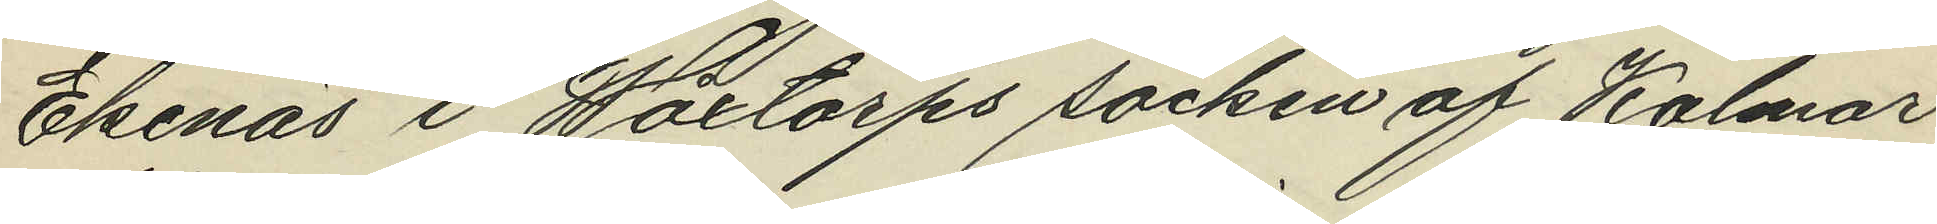Ekenäs i Wåxtorps socken af Kalmar
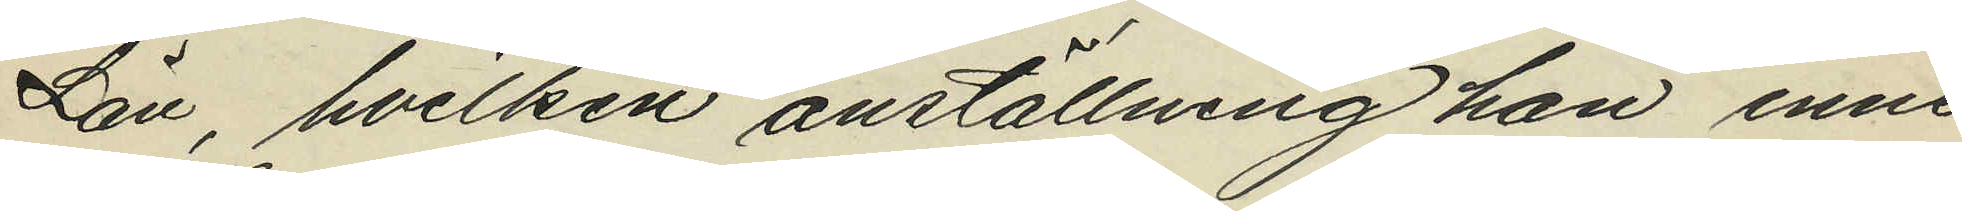Län, hvilken anställning han inne¬
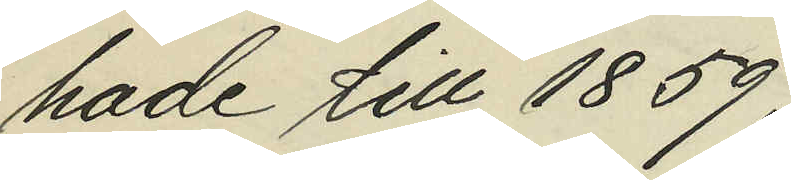hade till 1859;
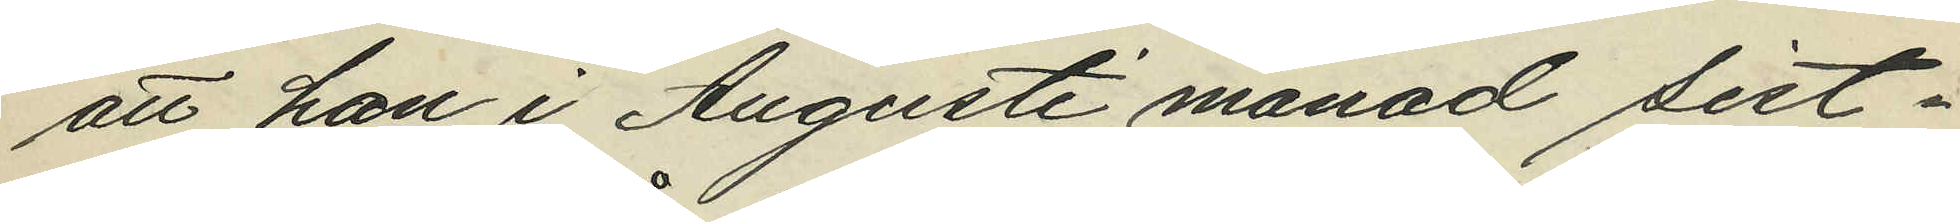att han i Augusti månad sist¬
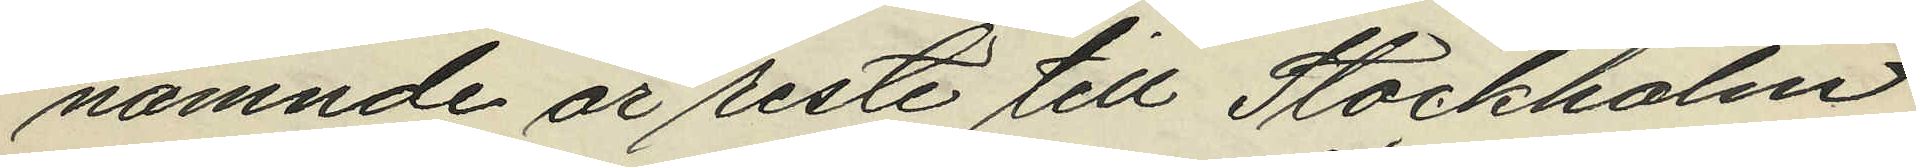nämnde år reste till Stockholm,
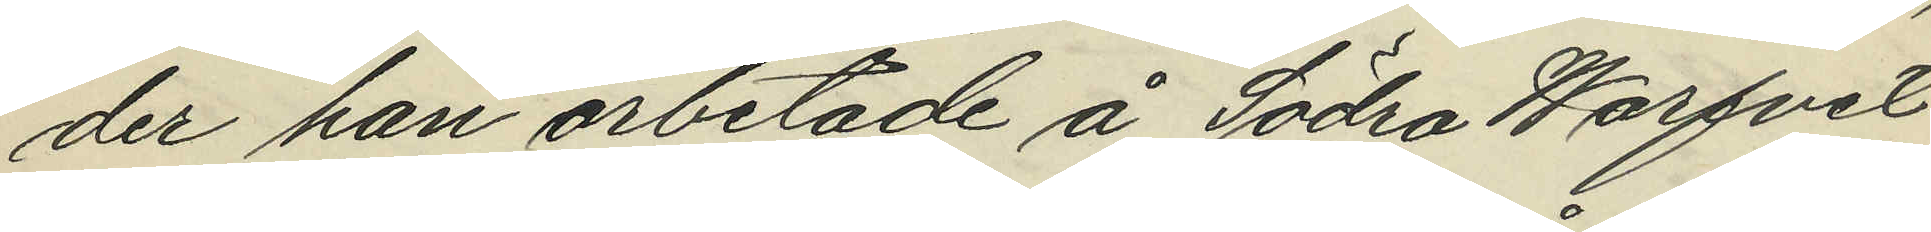der han arbetade å Södra Warfvet
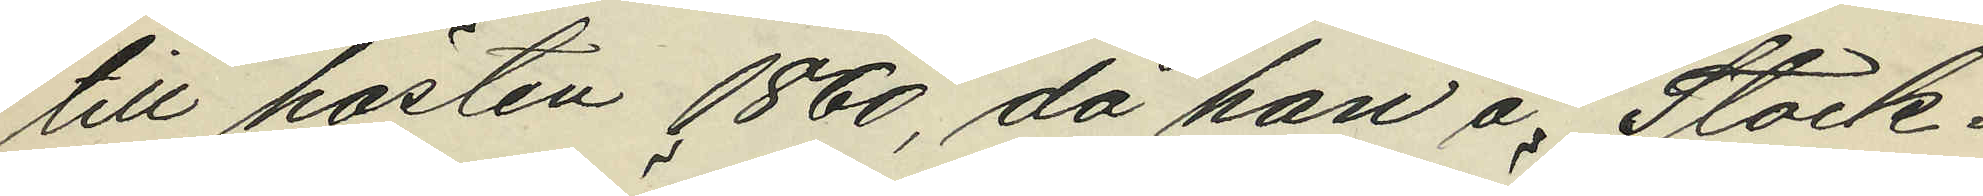till hösten 1860, då han å Stock¬
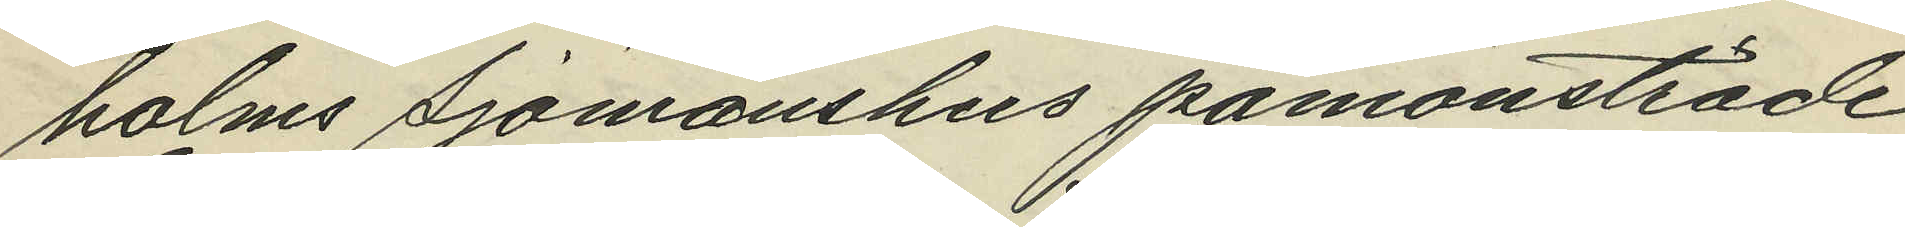holms Sjömanshus påmönstrade
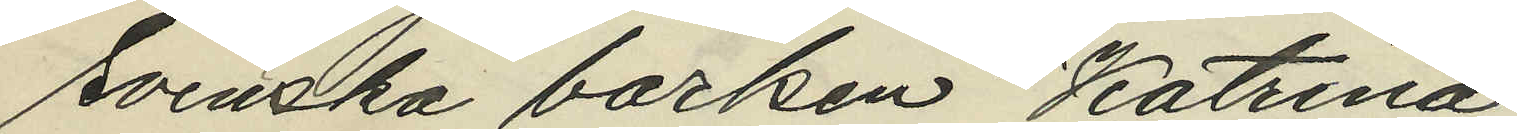Svenska barken "Katrina";
